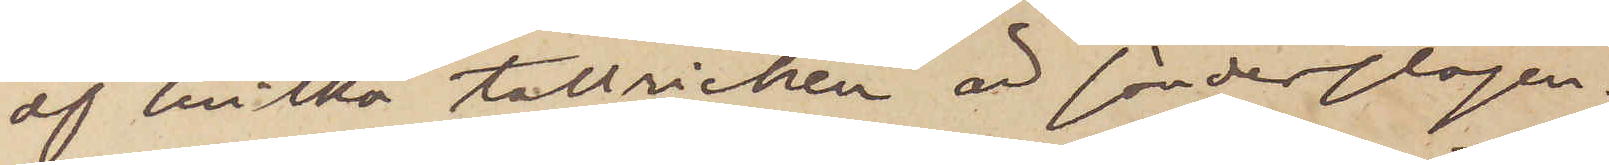af hvilka tallricken är sönderslagen.
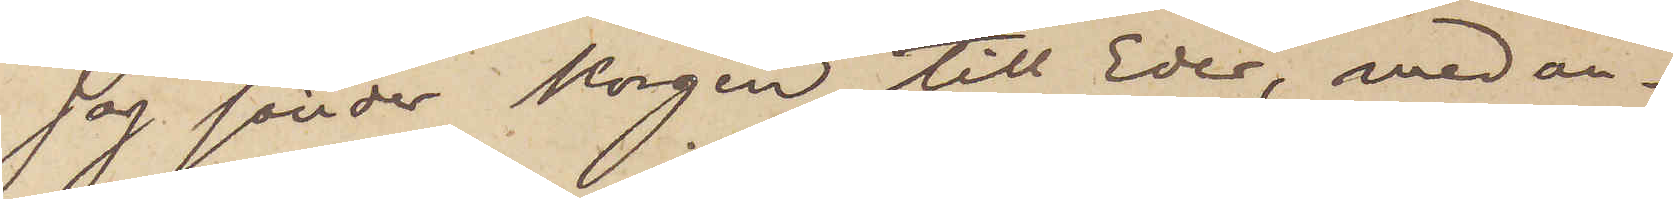Jag sänder korgen till Eder, med an¬
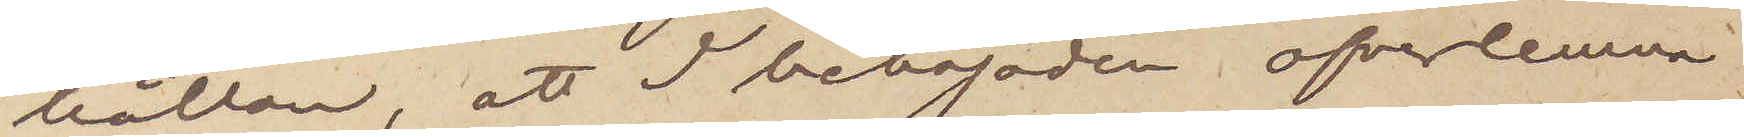hållan att I behagade öfverlemna
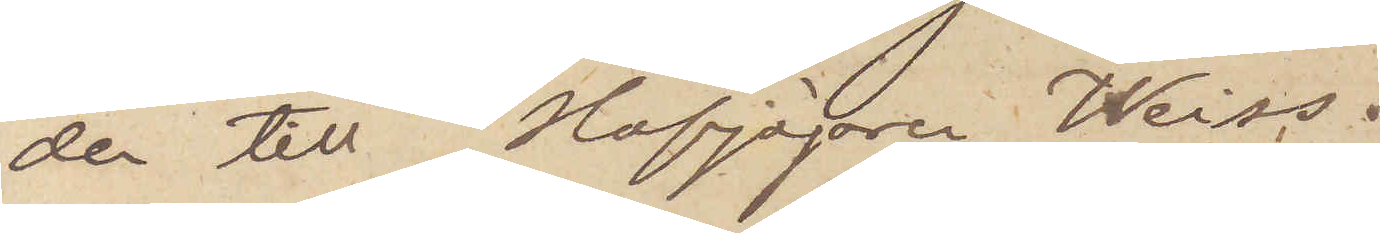den till Hofjägaren Weiss.
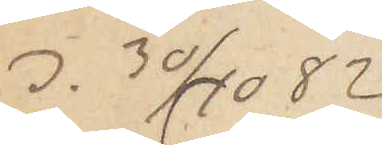d. 30/10 82
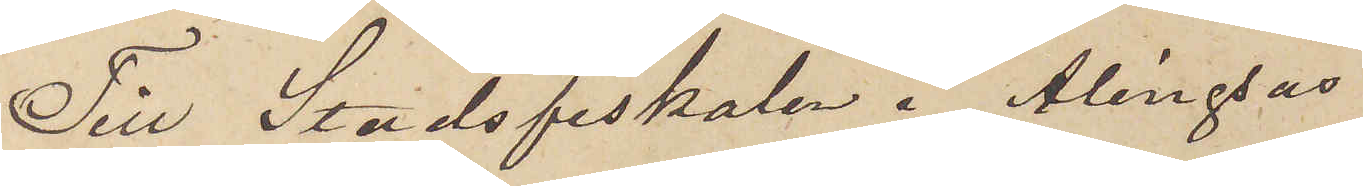Till Stadsfiskalen i Alingsås
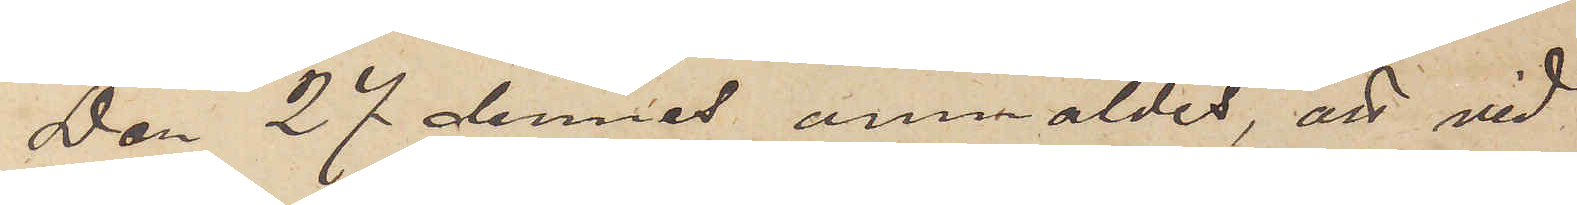Den 27 dennes anmäldes, att vid
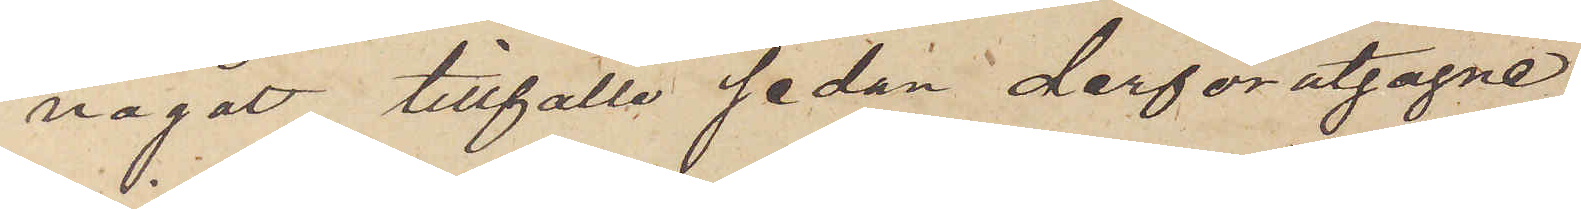något tillfälle sedan derförutgågne
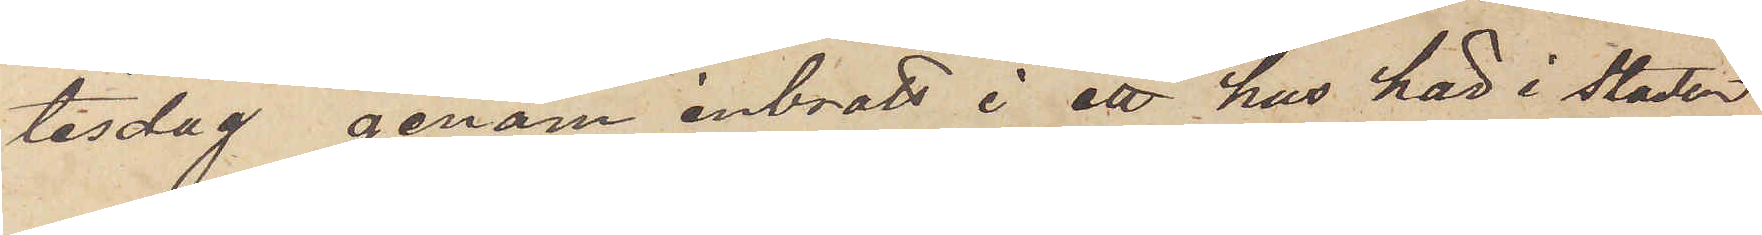tisdag genom inbrott i ett hus här i staden
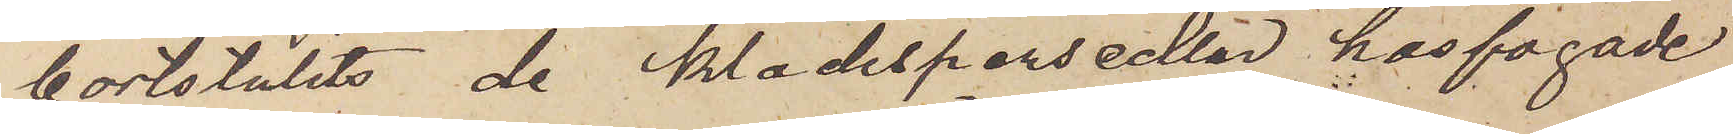bortstulits de klädespersedlar hos fogade
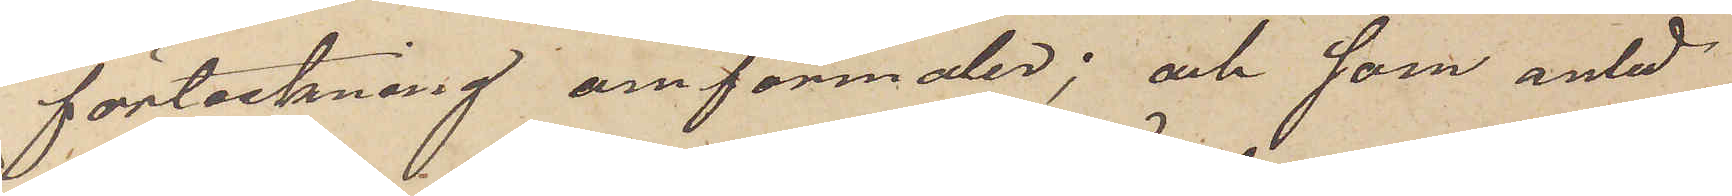förteckning omförmäles; och som anled¬
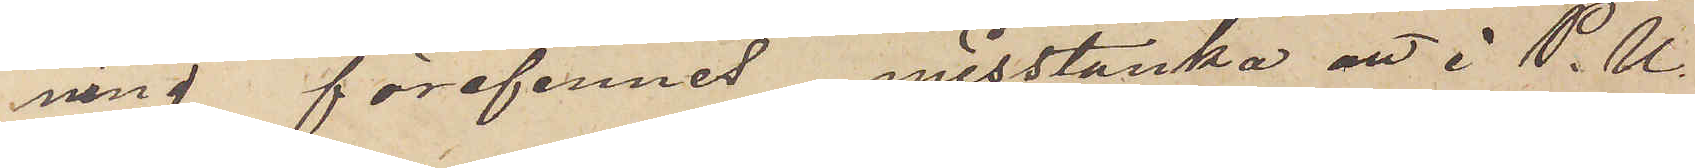ning förefinnes misstänka att i P.U.
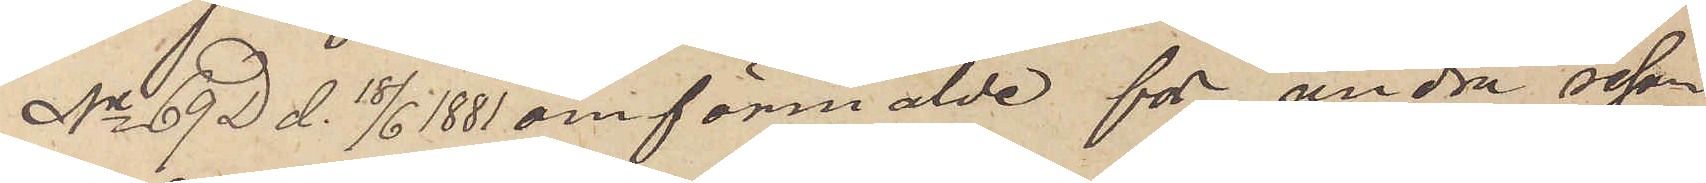No 69  D d. 18/6 1881 omförmälde för andra resan
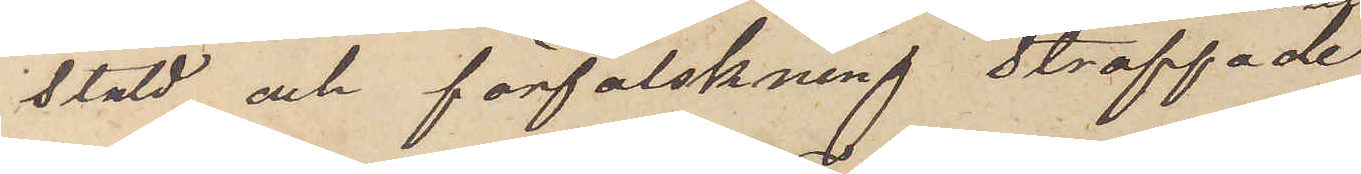stöld och förfalskning straffade
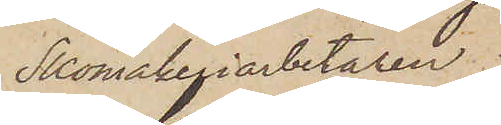Skomakeriarbetaren
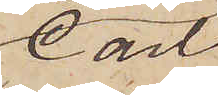Carl
